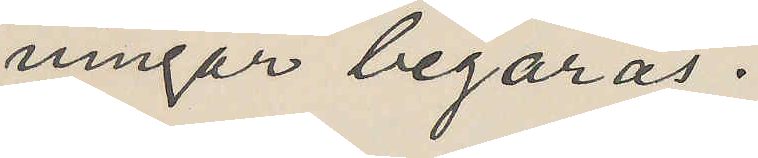ningar begäras.
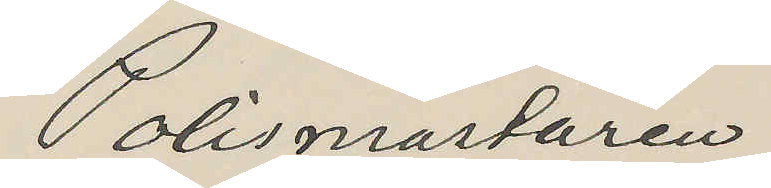Polismästaren
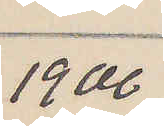1900
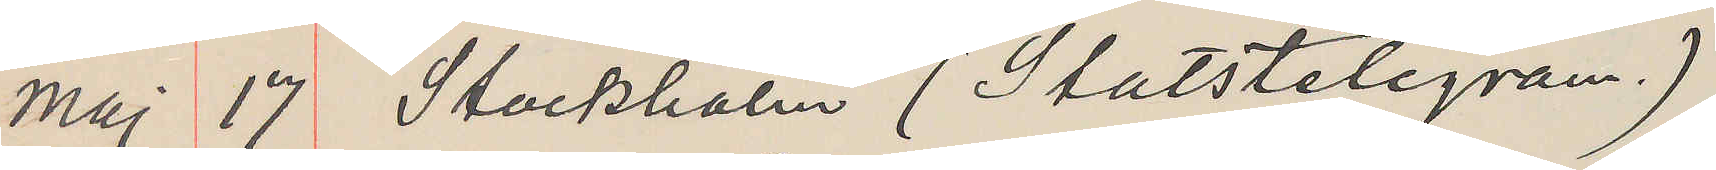Maj 17 Stockholm (Statstelegram.)
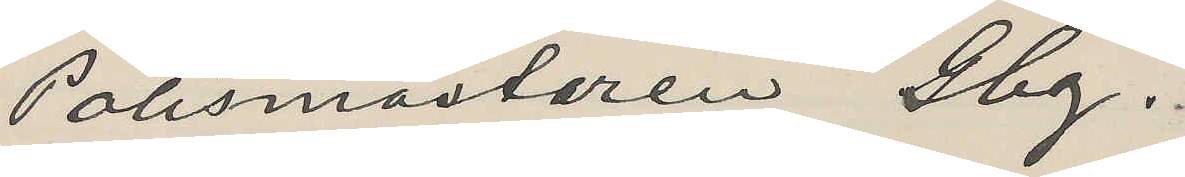Polismästaren Gbg.
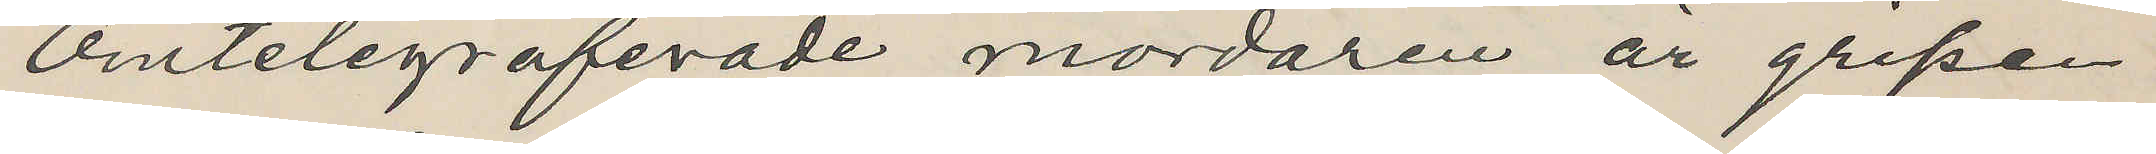Omtelegraferade mördaren är gripen
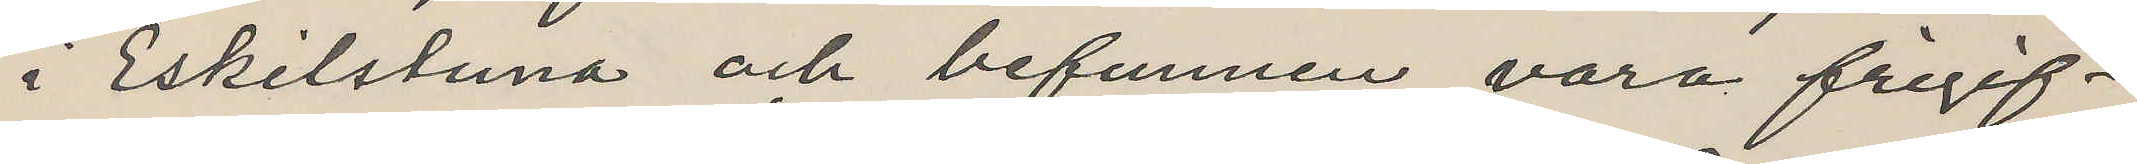i Eskilstuna och befunnen vara frigif¬
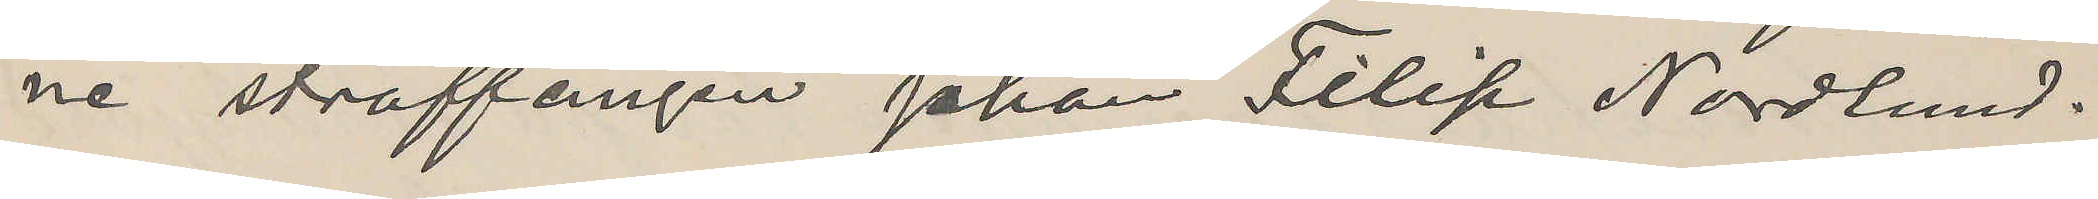ne straffången Johan Filip Nordlund.
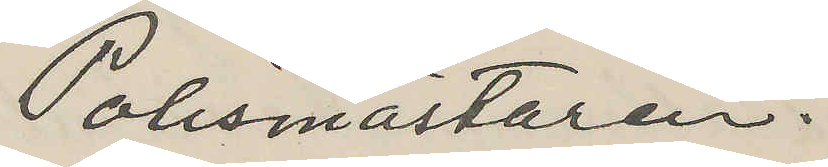Polismästaren.
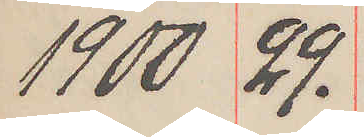1900 29.
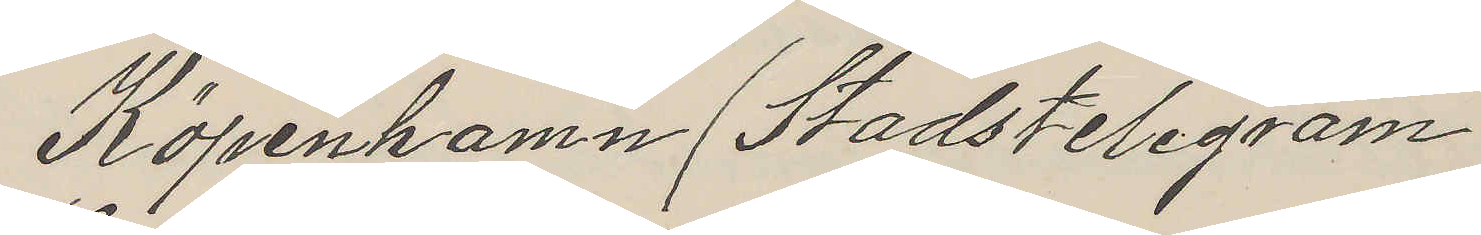Köpenhamn Stadstelegram
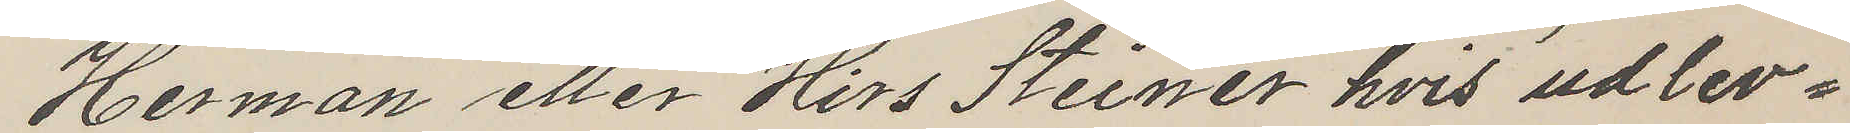Herman eller Hirs Sterner hvis udlev¬
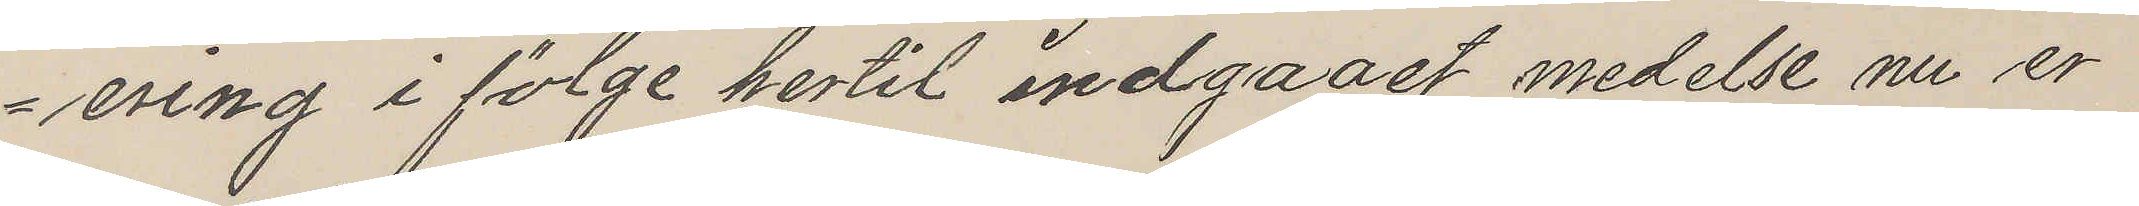ering i fölge hertil indgaast medelse nu er
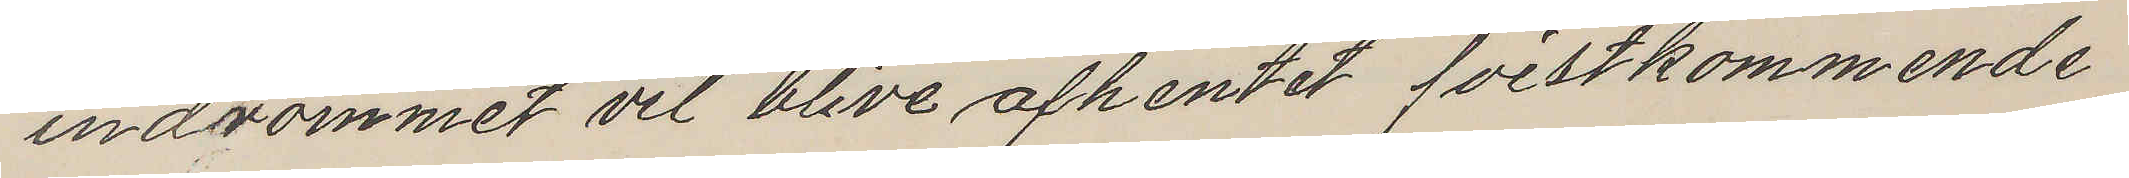indrömmet vil blive afhentet fristkommende
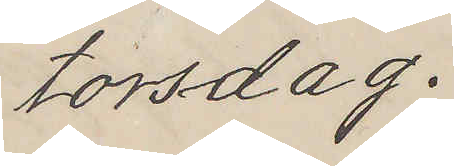torsdag.
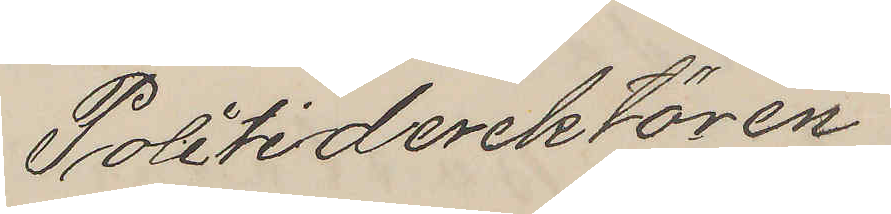Politiderektören
